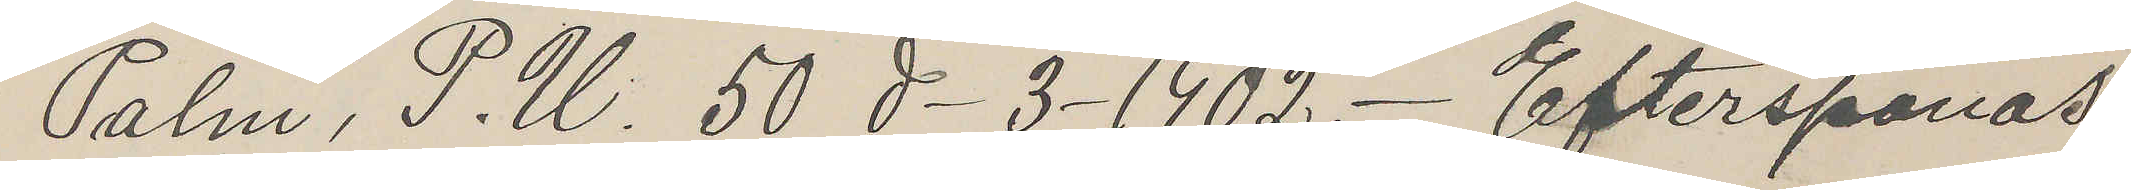Palm, P. U. 50 d 3 1902. Efterspanas
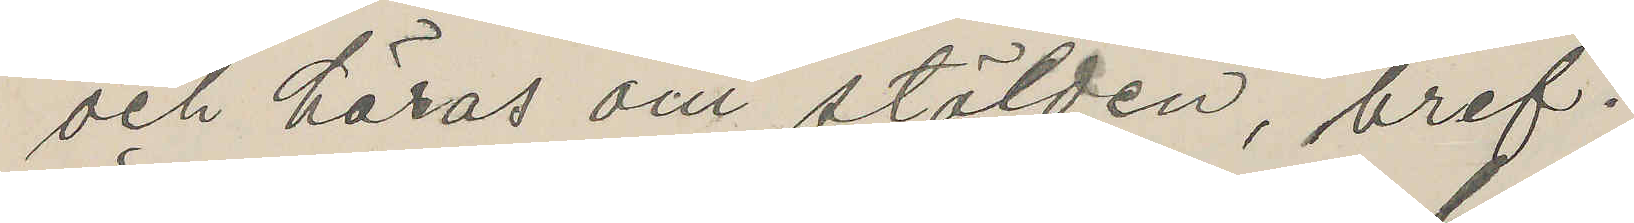och höras om stölden, bref.
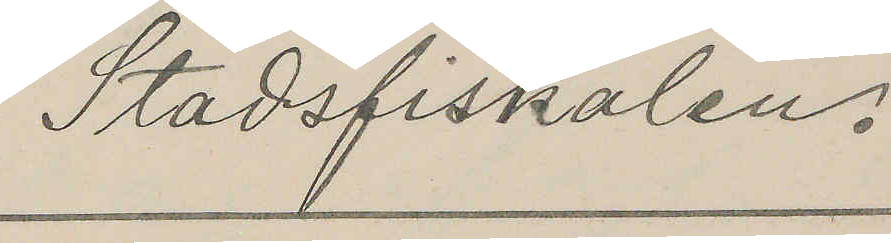Stadsfiskalen.
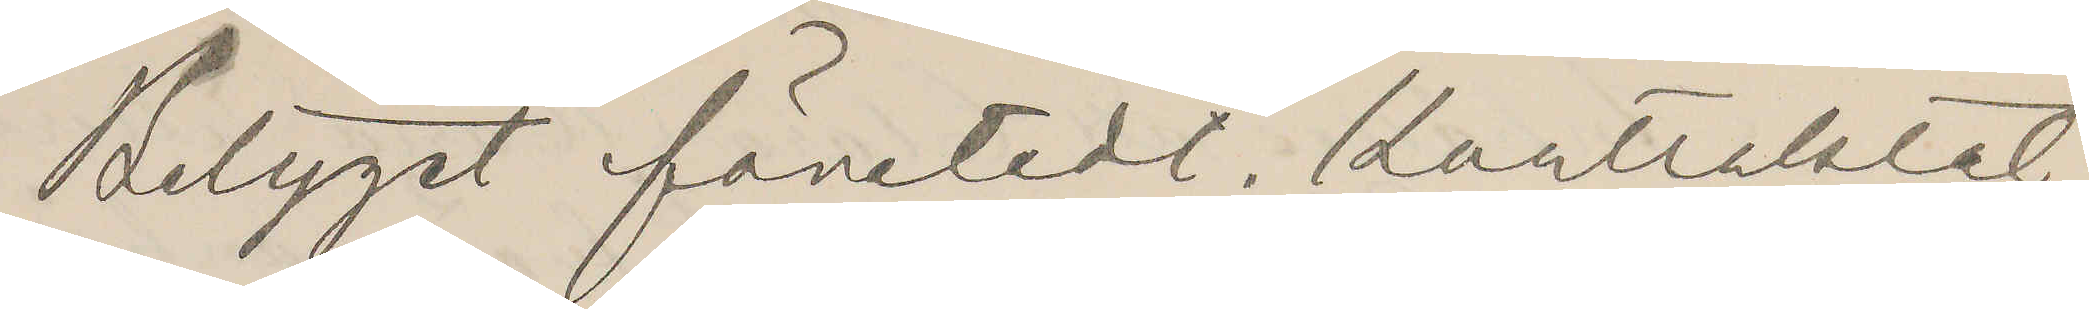Betyget företedt. Kontraktet
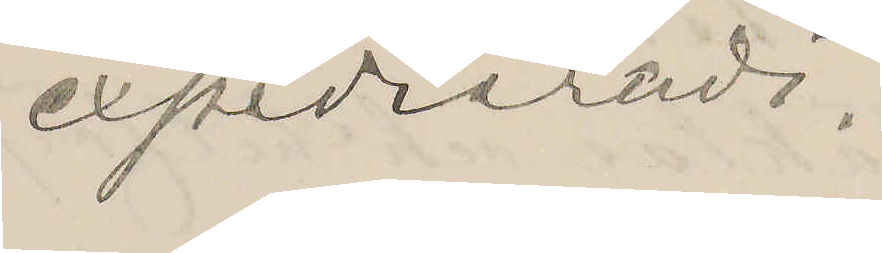expedieradt.
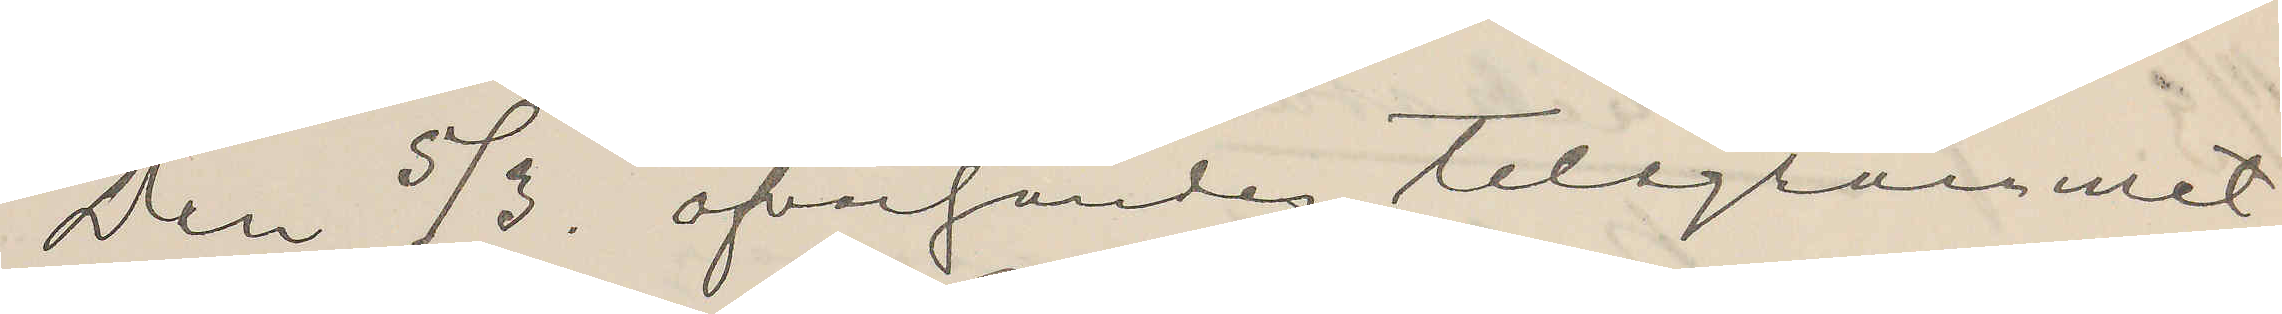den 5/3. öfversändes telegrammet
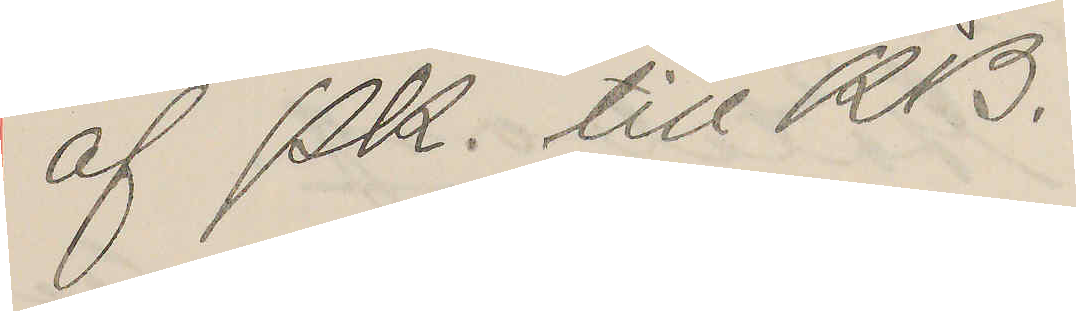af Pk. till KB.
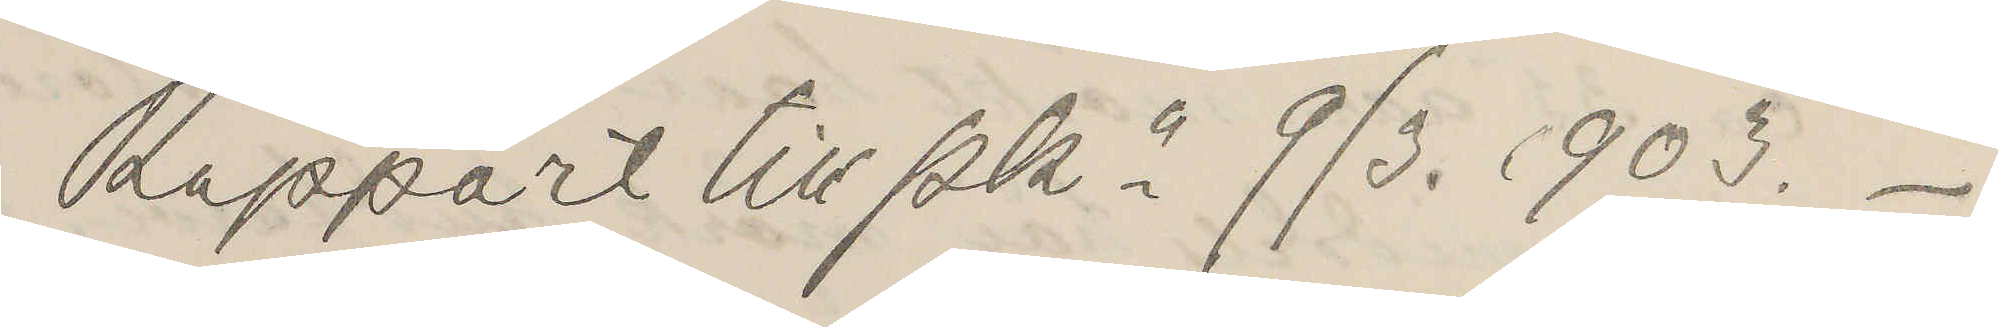Rapport till Pkn 9/3. 1903.
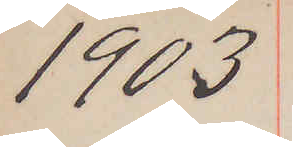1903.
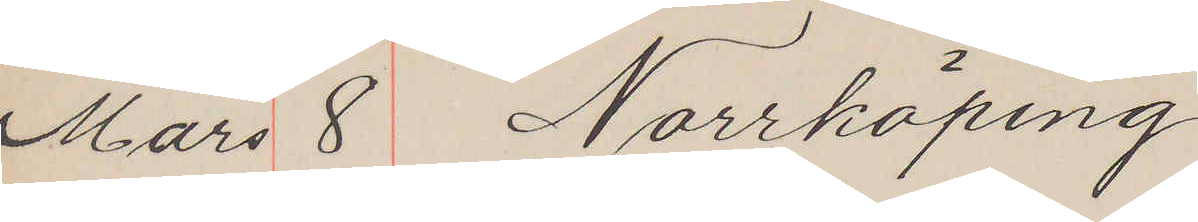Mars 8 Norrköping
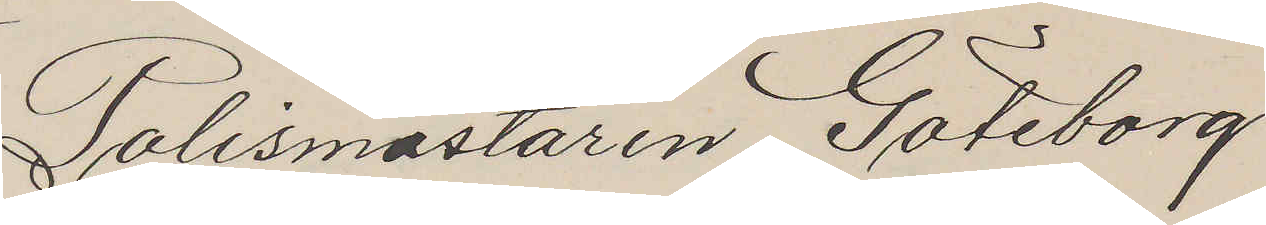Polismästaren Göteborg
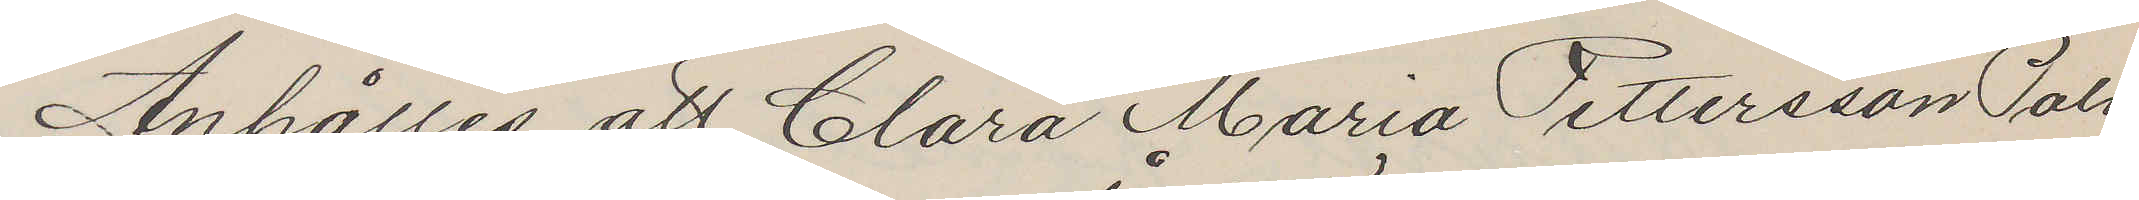Anhålles att Clara Maria Pettersson Palm
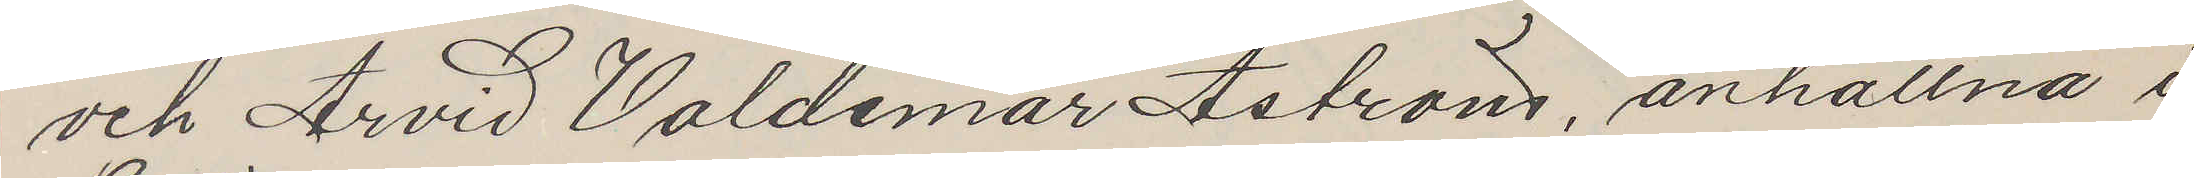och Arvid Valdemar Åström anhållna i
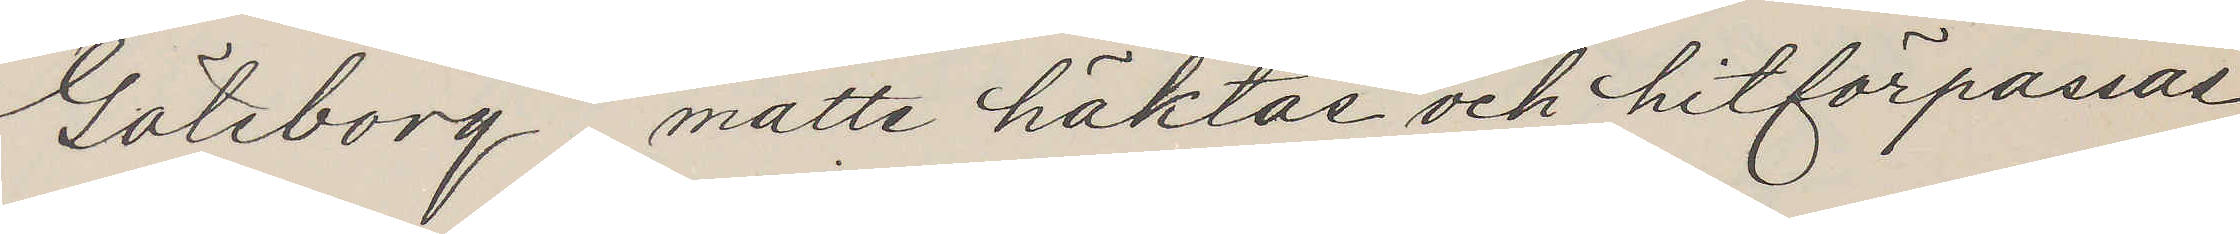Göteborg, måtte häktas och hitförpassas
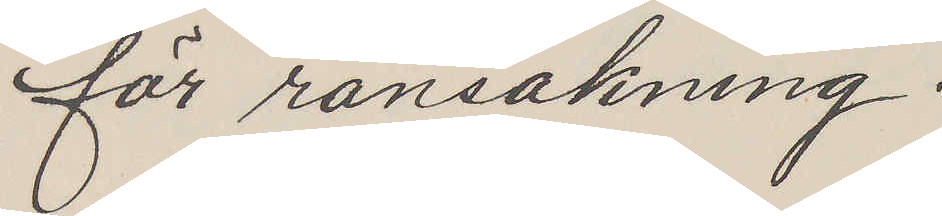för ransakning.
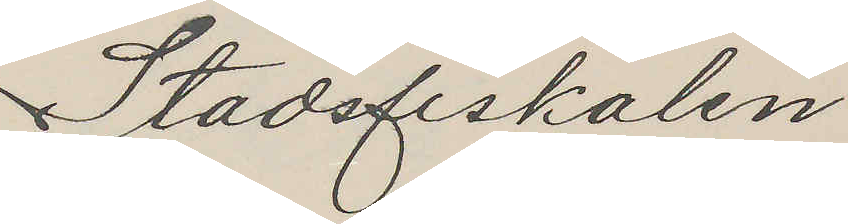Stadsfiskalen.
